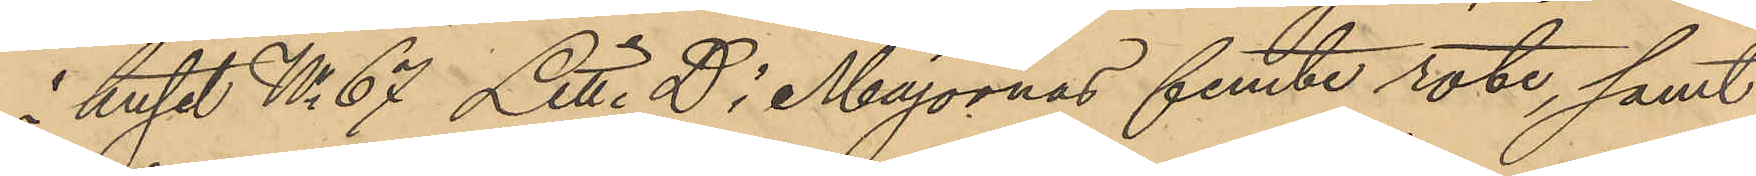i huset No 67 Litt. D i Majornas femte rote, samt
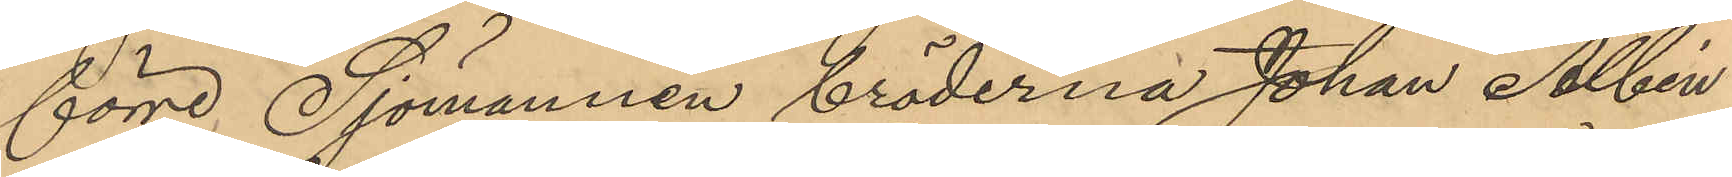förre Sjömannen bröderna Johan Albin
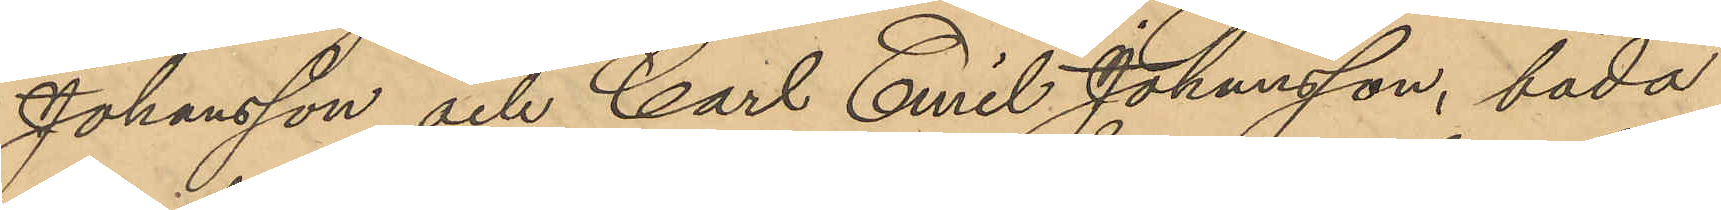Johansson och Carl Emil Johansson, båda
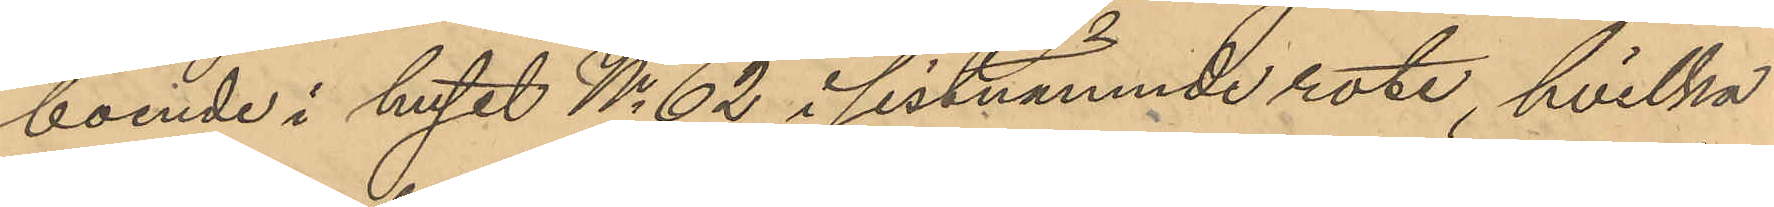boende i huset No 62 i sistnämnde rote, hvilka
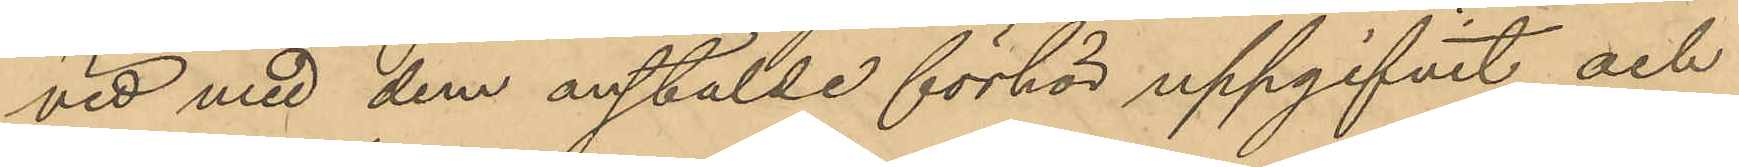vid med dem anställde förhör uppgifvit och
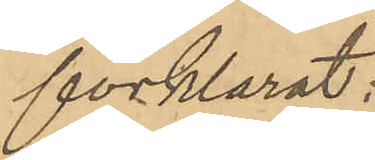förklarat:
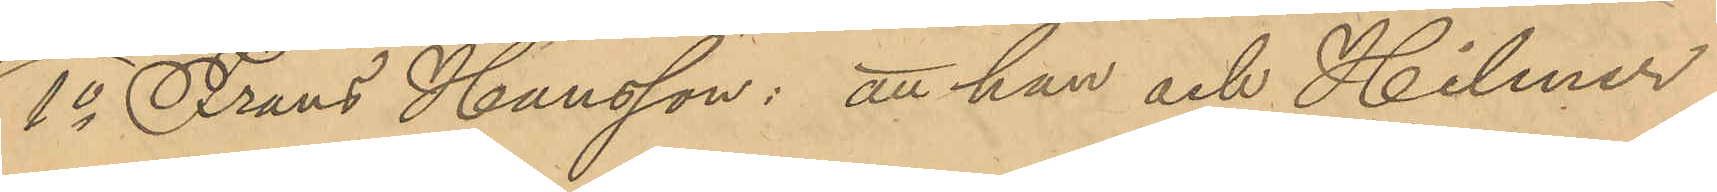1o Frans Hansson: att han och Hilmer
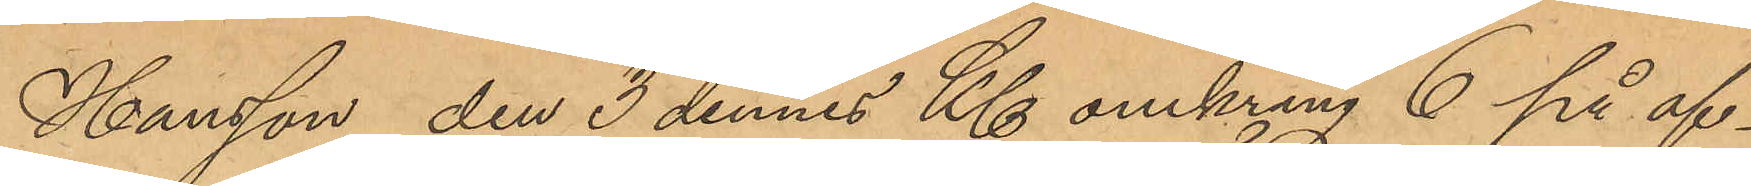Hansson den 3 dennes Kl omkring 6 på af¬
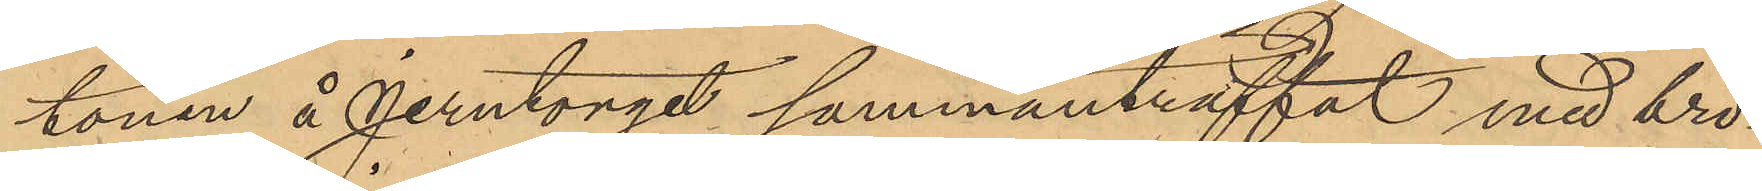tonen å Jerntorget sammanträffat med brö¬
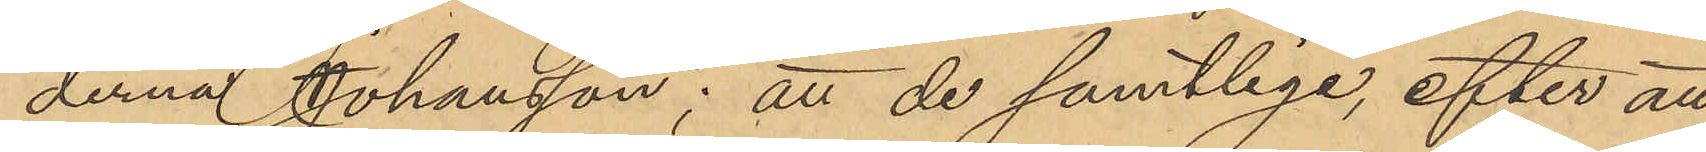derna Johansson; att de samtlige, efter att¬
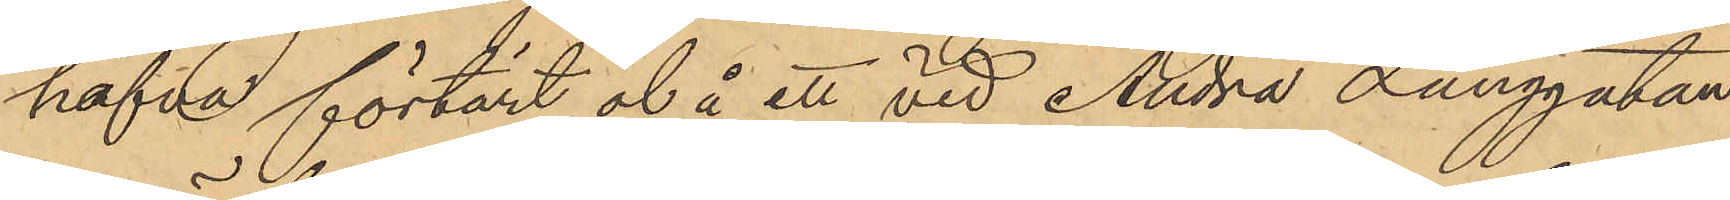hafva förtärt öl å ett vid Andra Långgatan
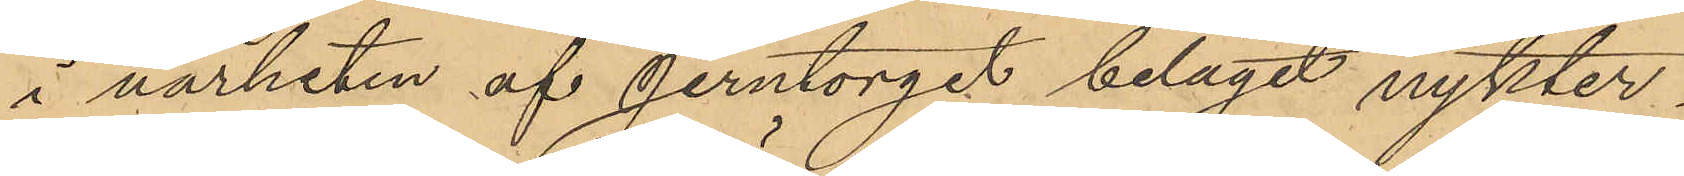i närheten af Jerntorget beläget nykter¬
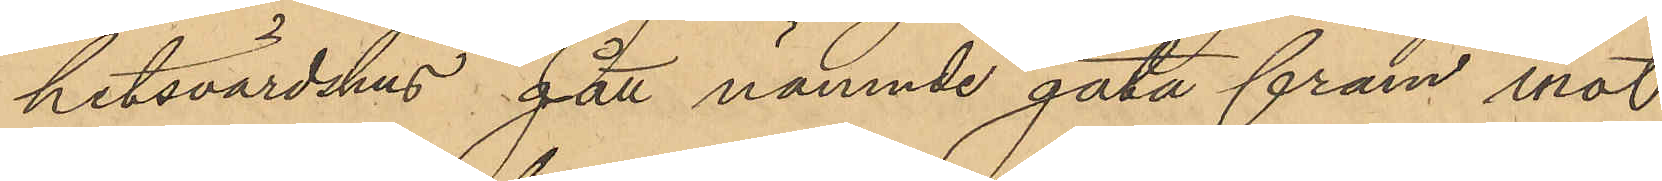hetsvärdshus gått nämnde gata fram mot
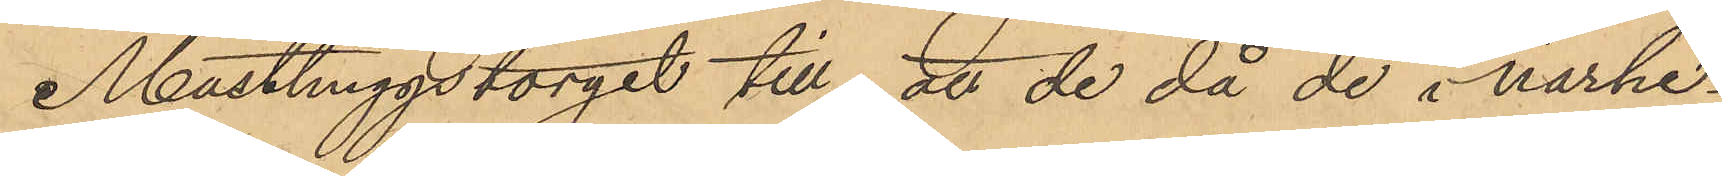Masthuggstorget till att de då de i närhe¬
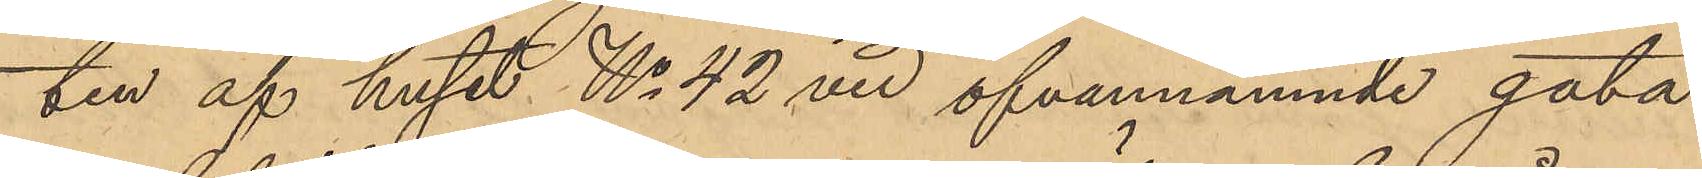ten af huset No 42 vid ofvannämnde gata
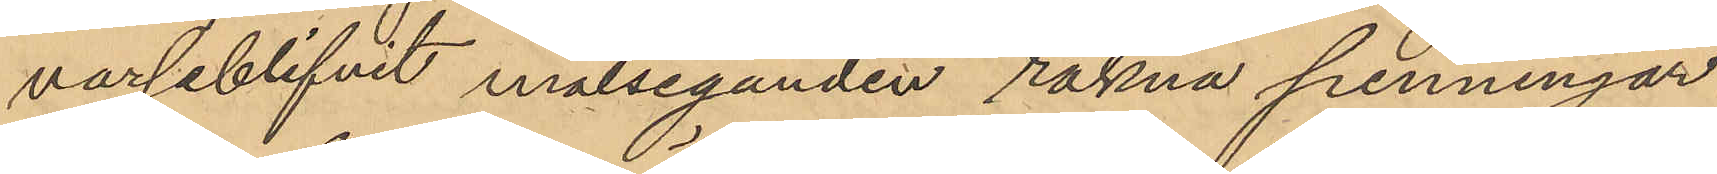varseblifvit målseganden räkna penningar
